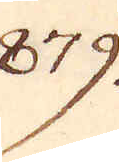879.
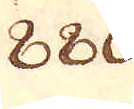880
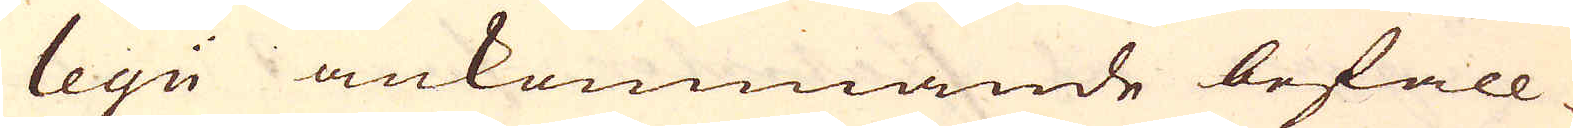legii ankommande befall-
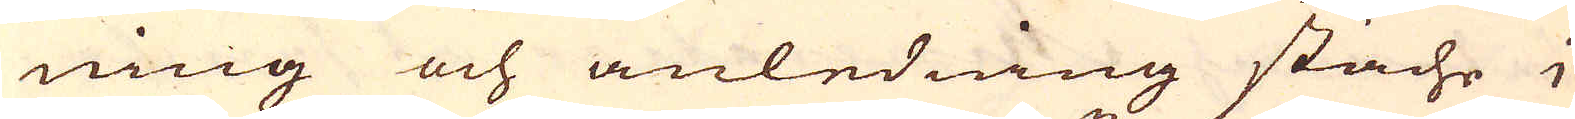ning och anledning stäche i
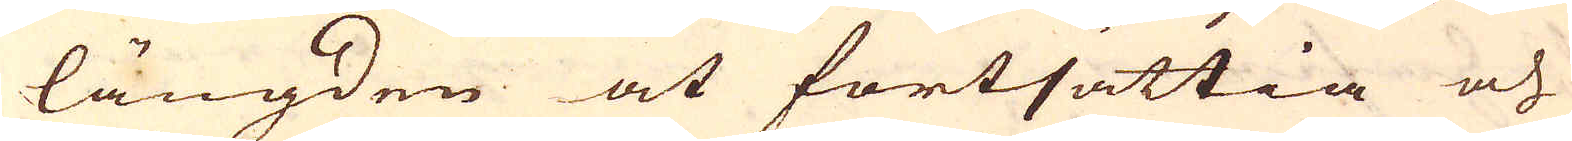längden at fortsättia och
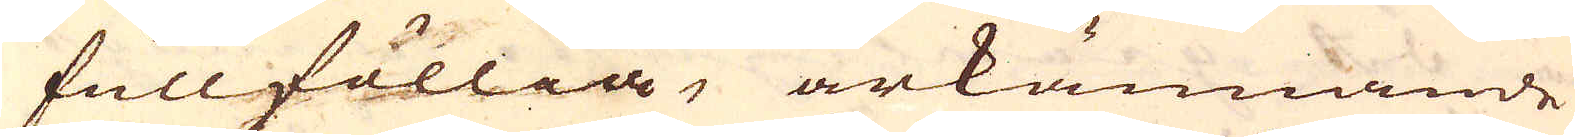fullföllia, ärkännande
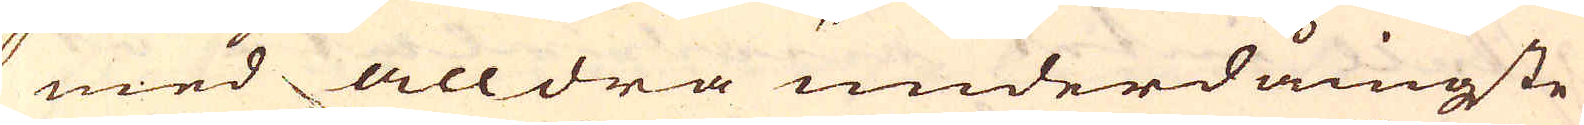med alldra underdånigste
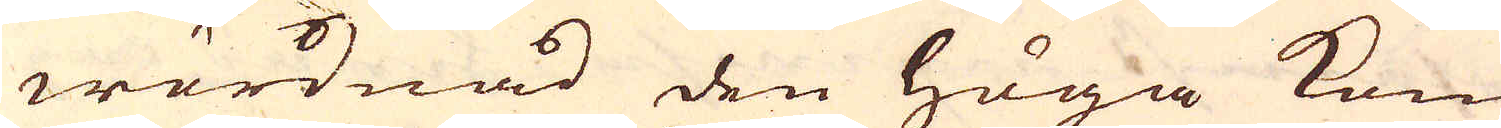wördnad den höga Kongl.
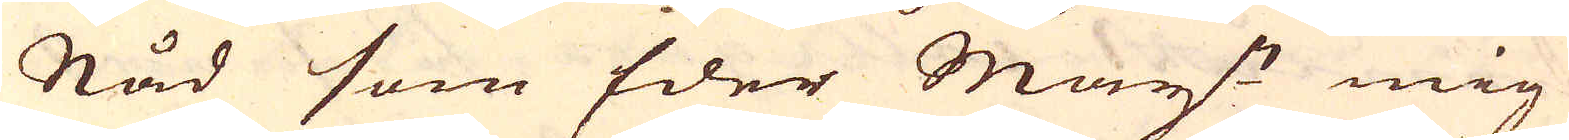Nåd som Eder May:ts mig
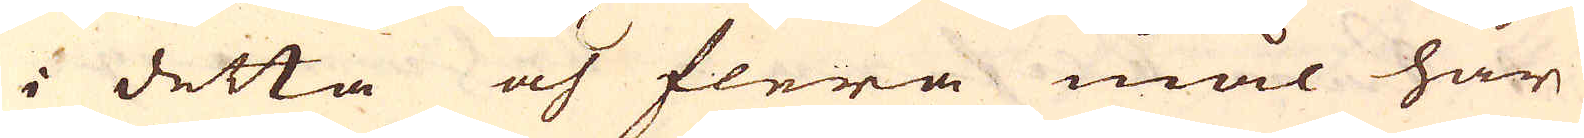i detta och flera mål här
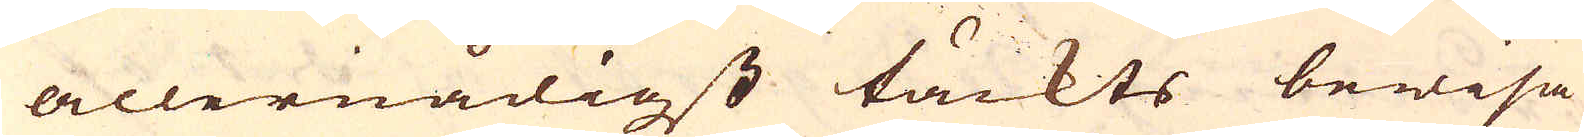allernådigst täckts bewisa
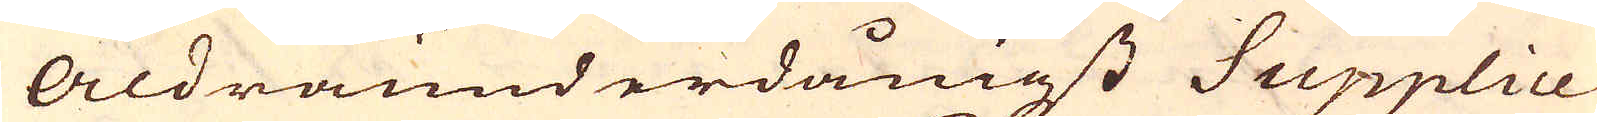Aldraunderdånigst Supplice-
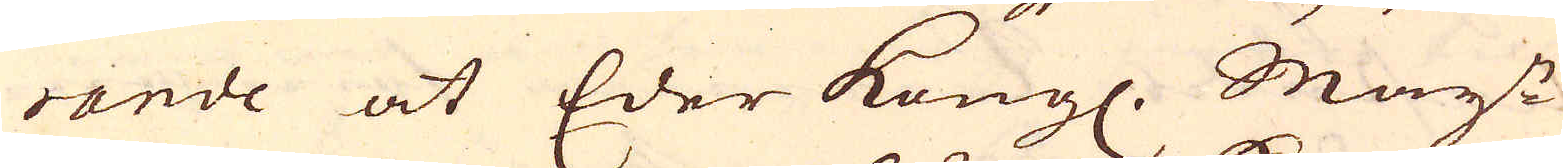rande at Eder Kungl. May:t
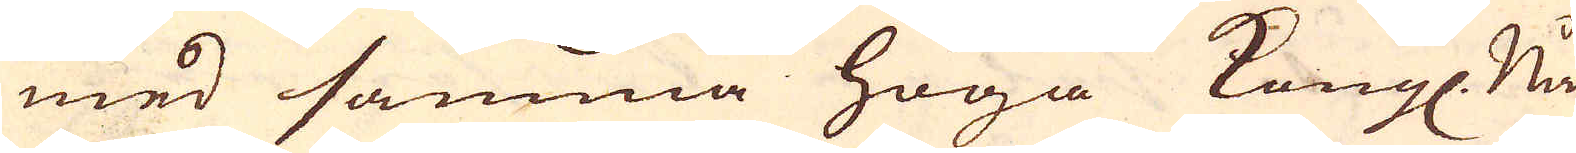med samma höga Kongl. Nåd
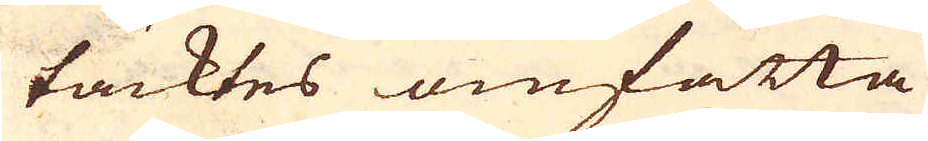täcktes omfatta
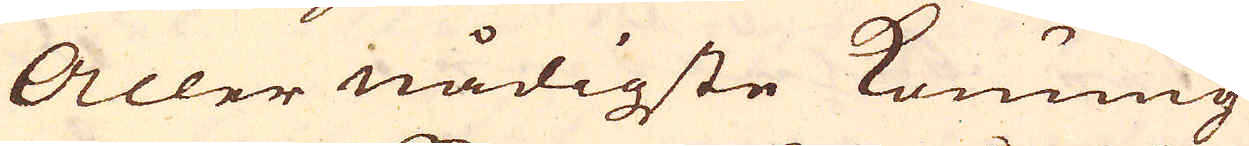Aller nådigste Konung
